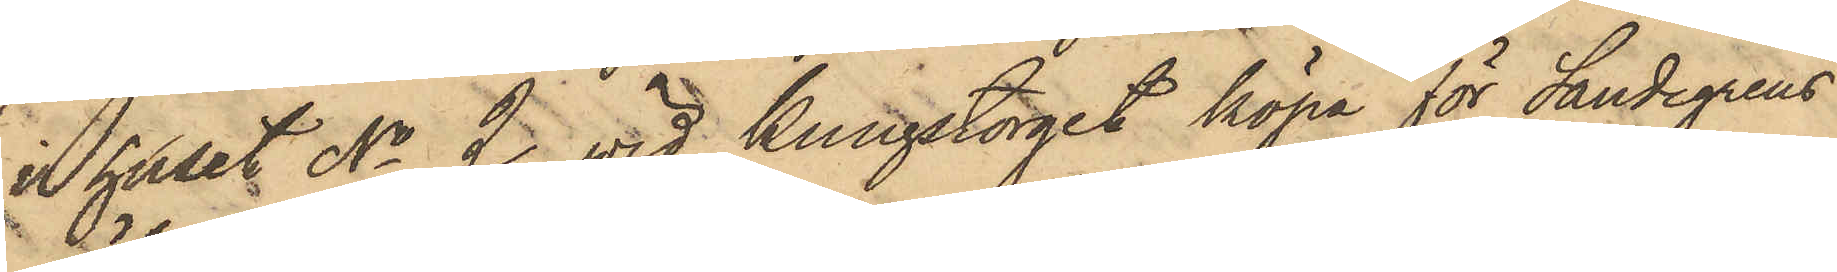i huset No 2 vid Kungstorget köpa för Sandegrens
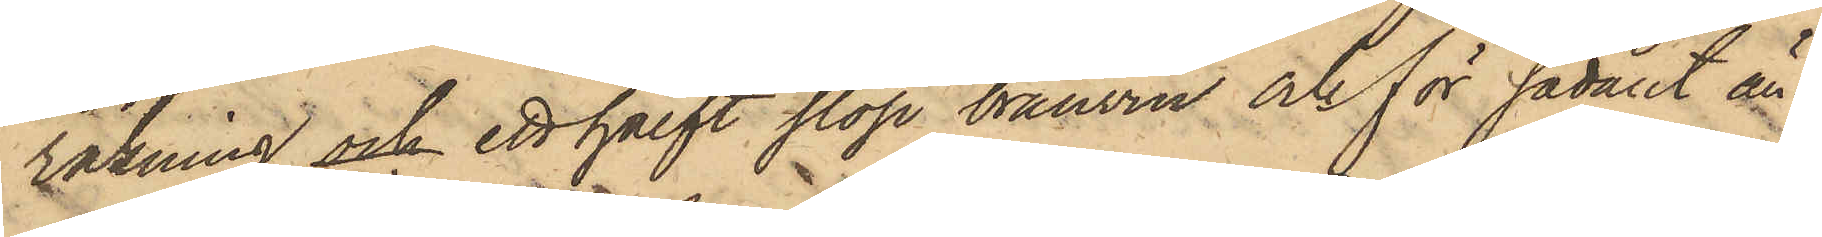räkning och ett halft stop bränvin och för sådant än¬
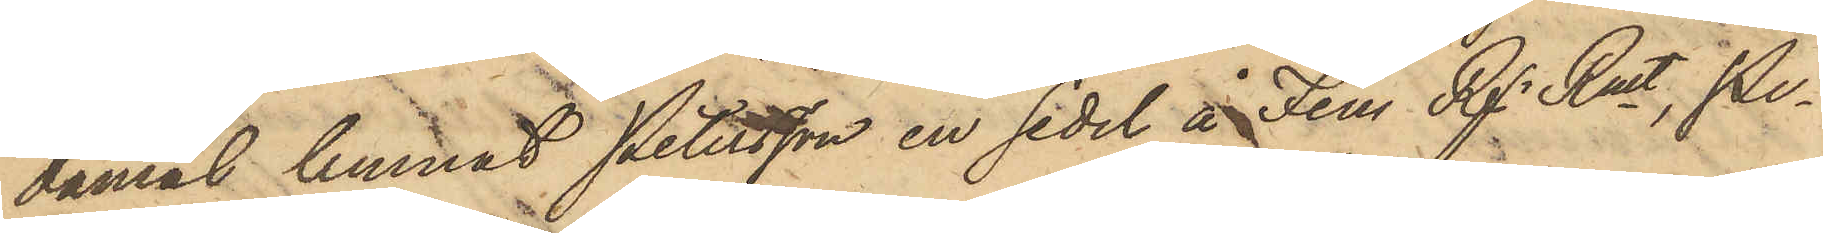damål lemnat Petersson en sedel å Fem Rgr. Rmt, Pe¬
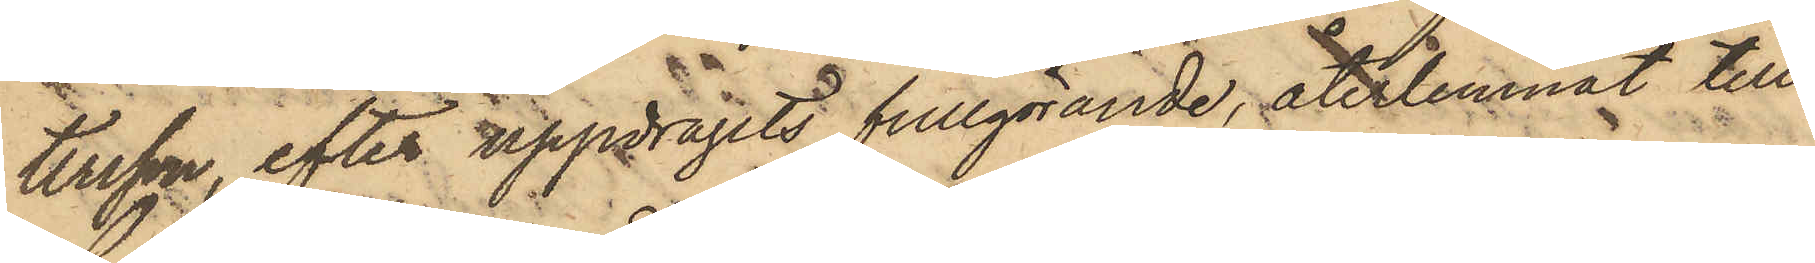tersson, efter uppdragets tillgörande, återlemnat till
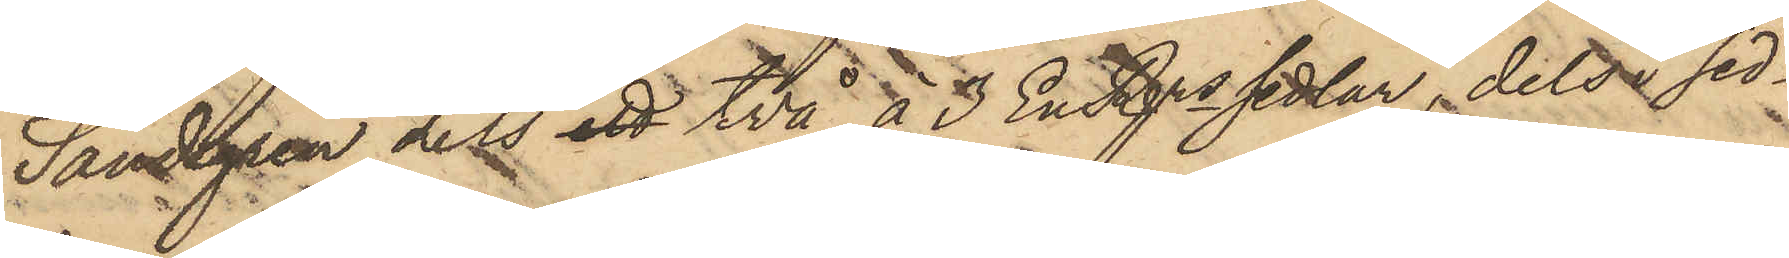Sandegren dels ett två à 3 EnRgsssedlar, dels i sed¬
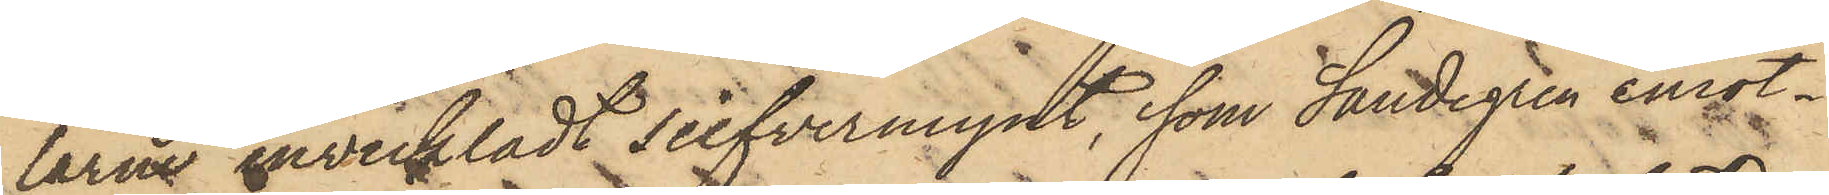larne inveckladt silfvermynt, som Sandegren emot¬
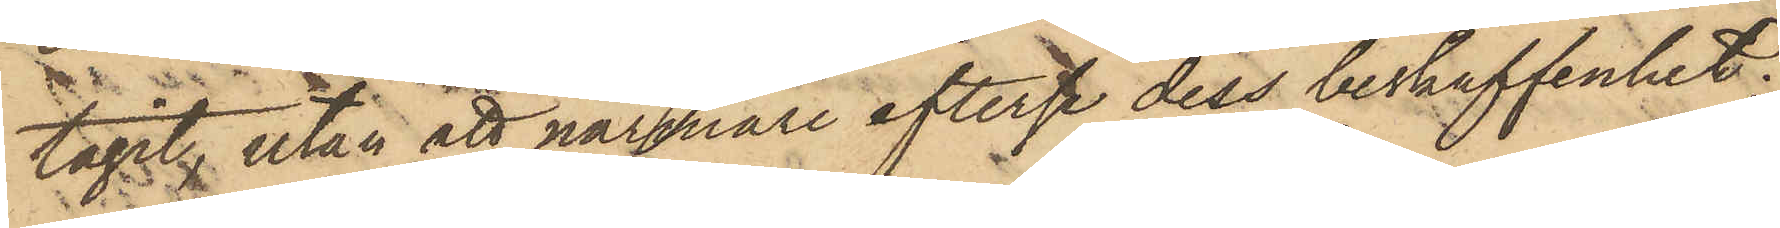tagit, utan att närmare efterse dess beskaffenhet;
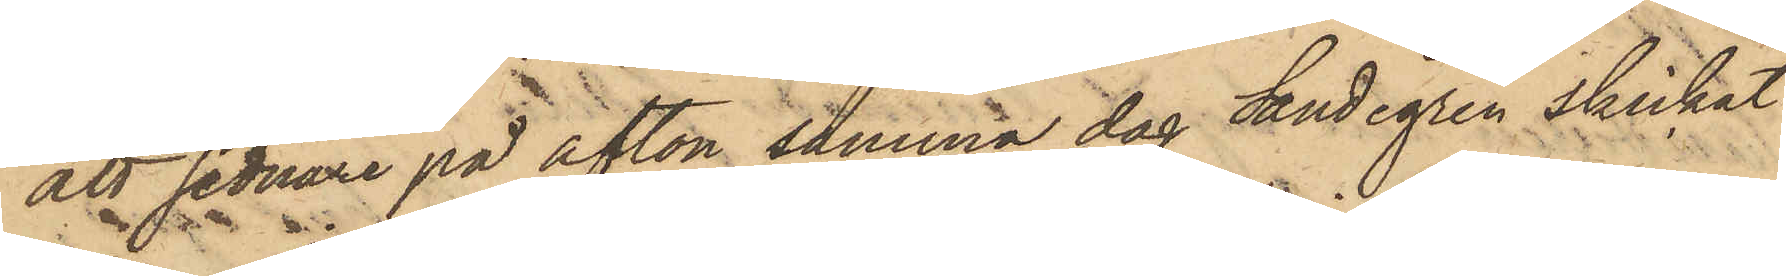att sednare på afton samma dag Sandegren skickat
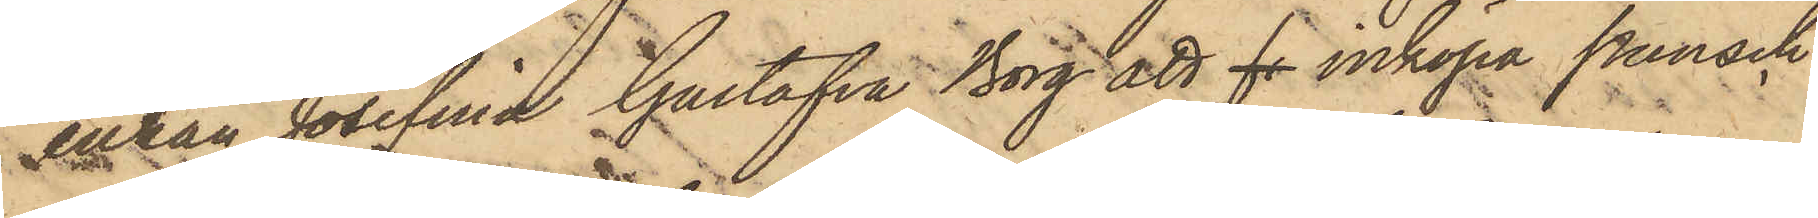enkan Josefina Gustafva Borg att fr inköpa punsch
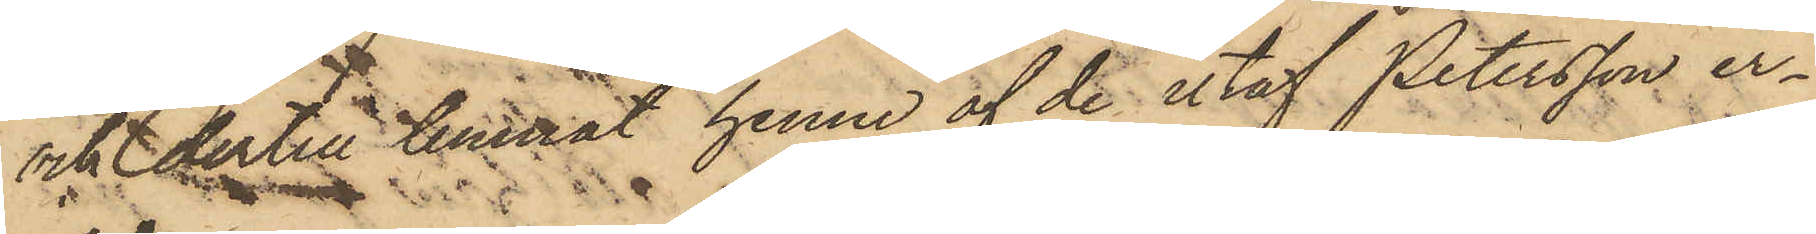och dertill lemnat henne af de utaf Petersson er¬
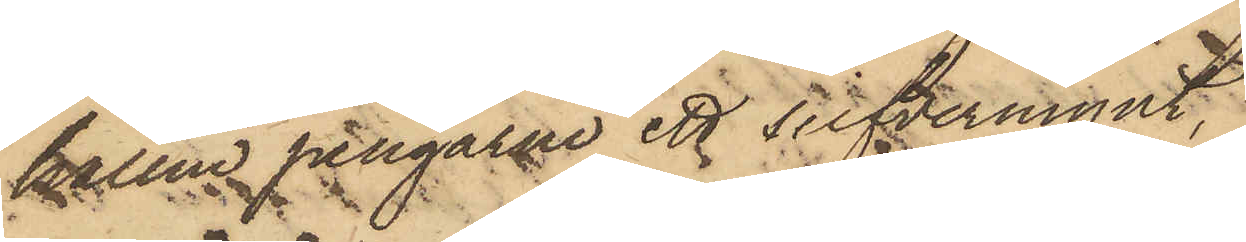hållne pengarne ett silfvermynt,
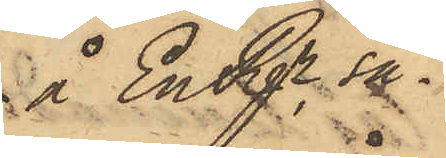å En Rgr, så¬
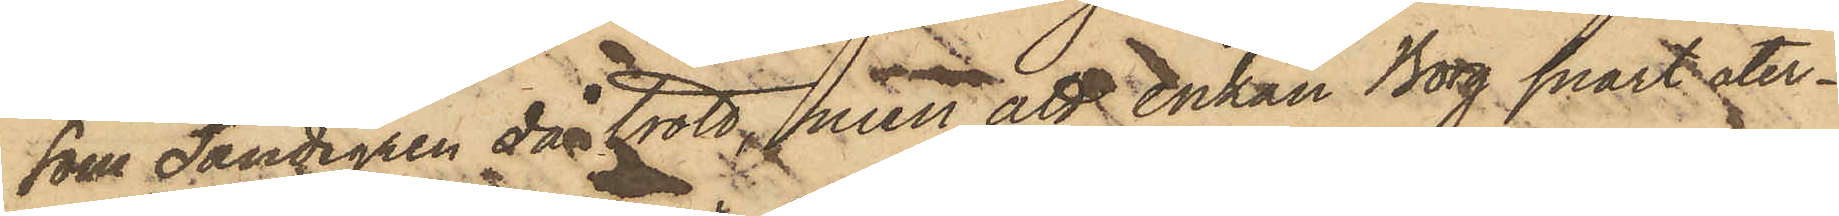som Sandegren då trott, men att enkan Borg snart åter¬
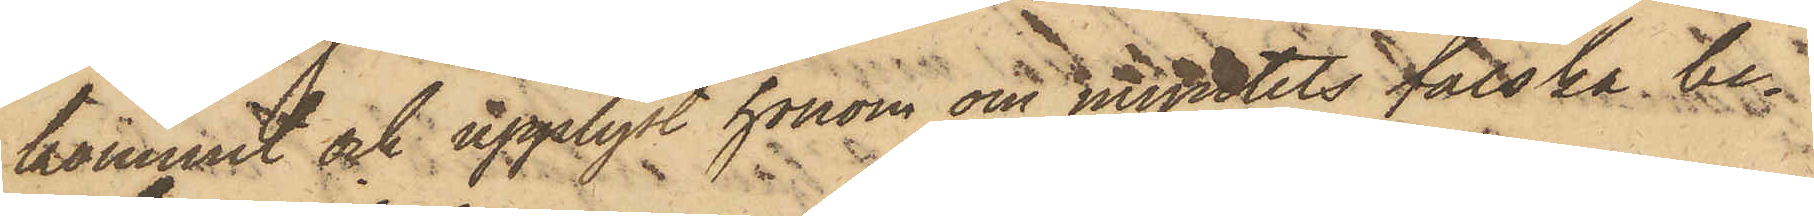kommit och upplyst honom om myntets falska be¬
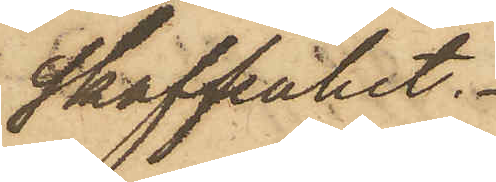skaffenhet.
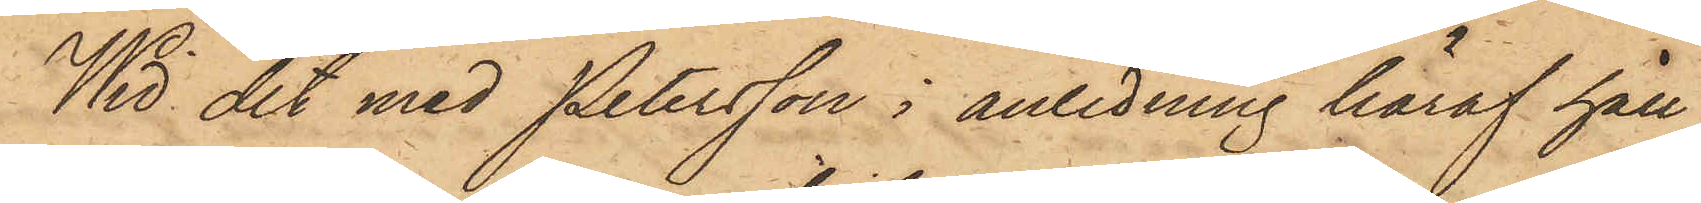Wid det med Petersson i anledning häraf håll¬
